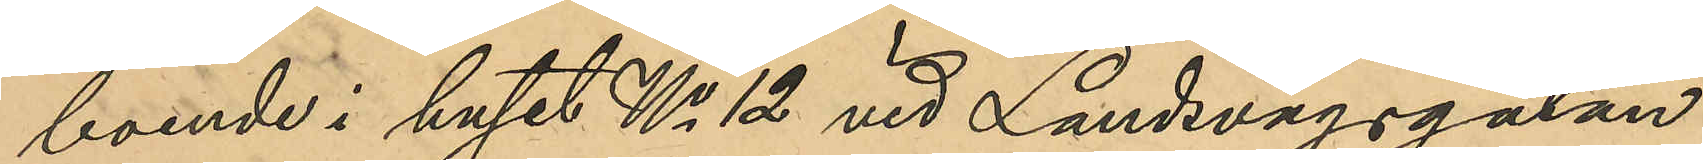boende i huset No 12 vid Landsvägsgatan:
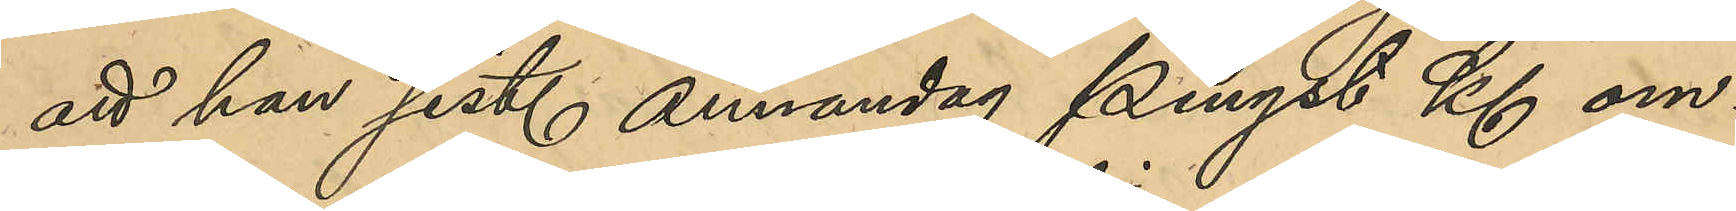att han sist. annandag Pingst Kl om¬
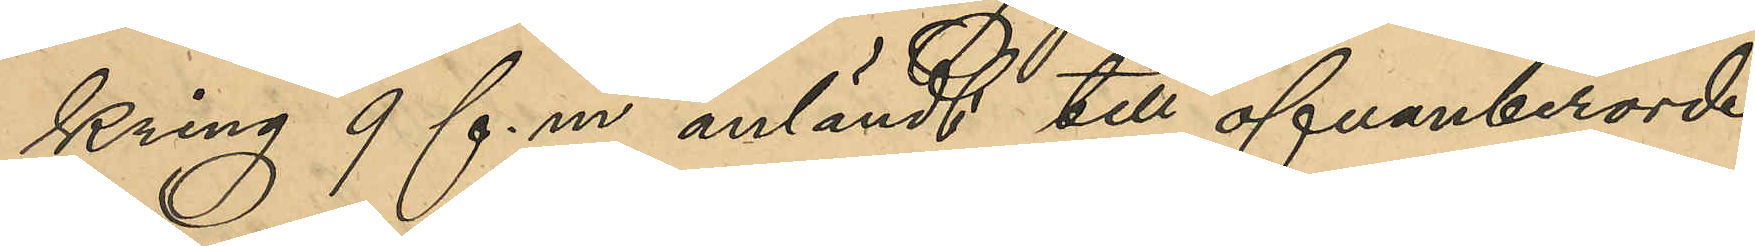kring 9 f. m. anländt till ofvanberörde
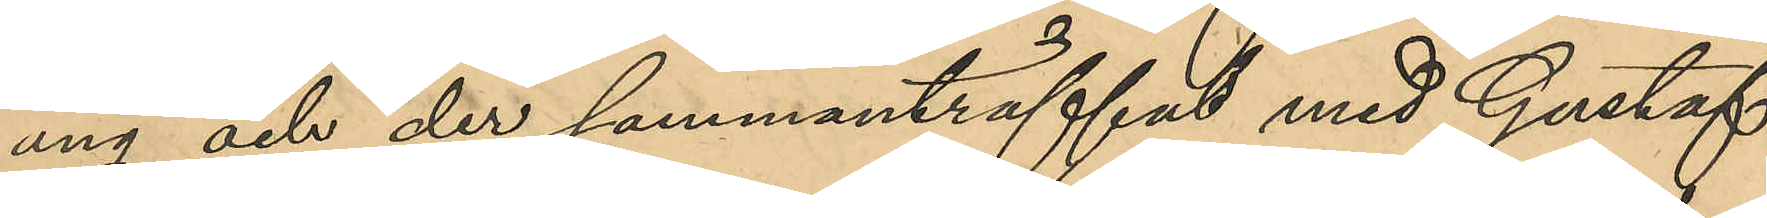äng och der sammanträffat med Gustaf
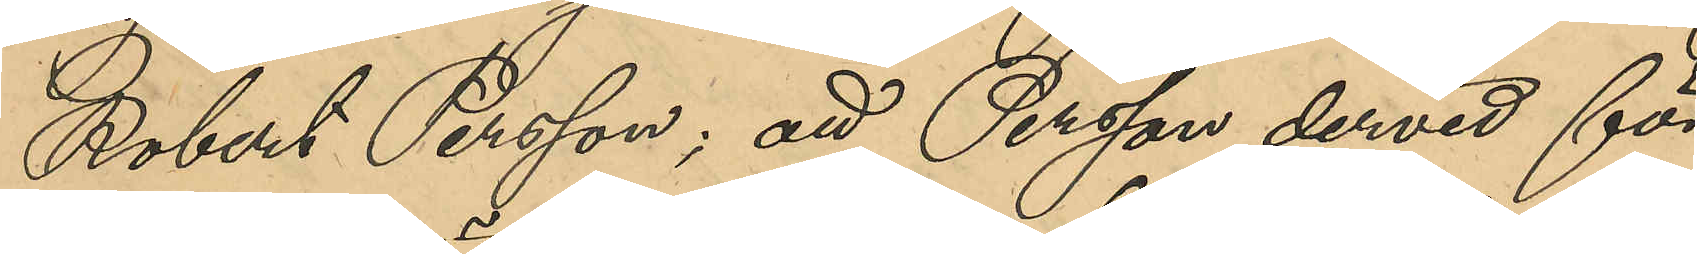Robert Persson; att Persson dervid för
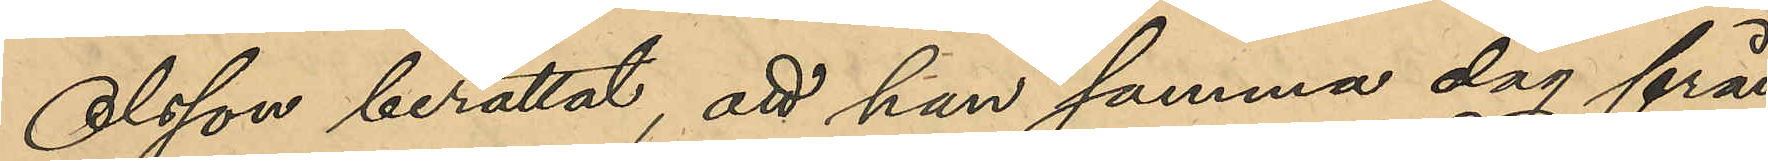Olsson berättat, att han samma dag från
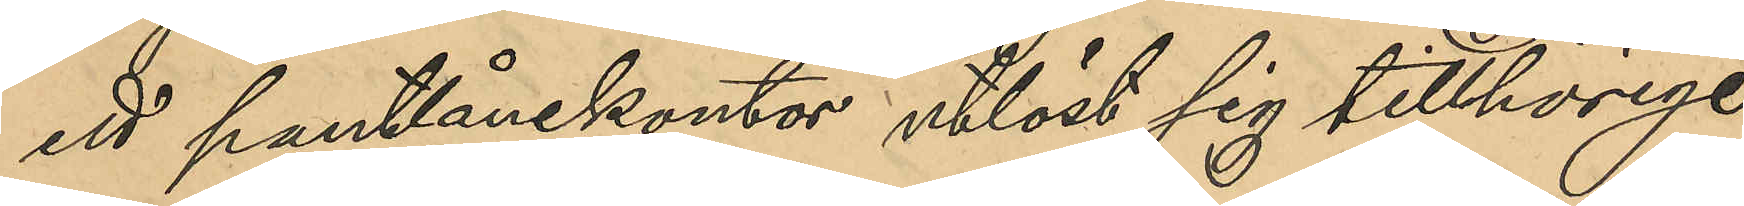ett pantlånekontor utlöst sig tillhörige
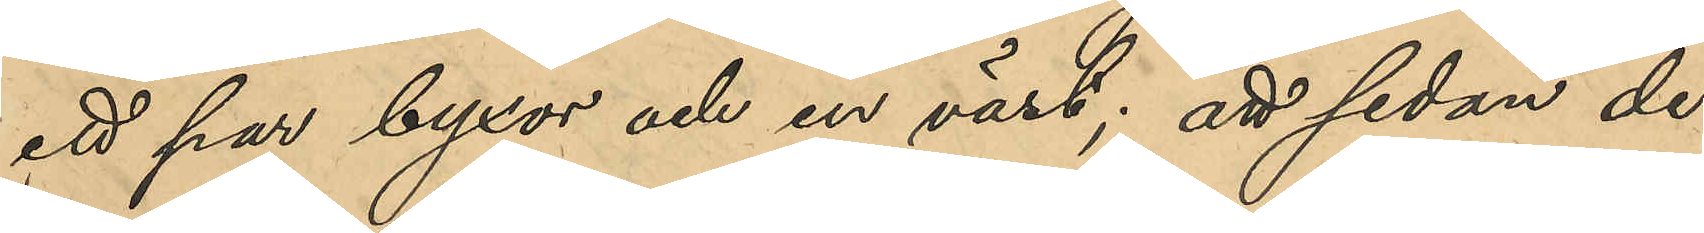ett par byxor och en väst; att sedan de
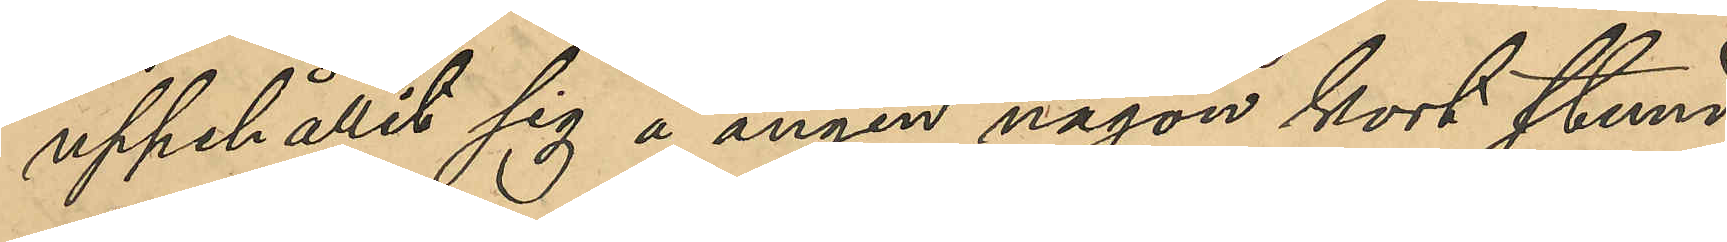uppehållit sig å ängen någon kort stund,
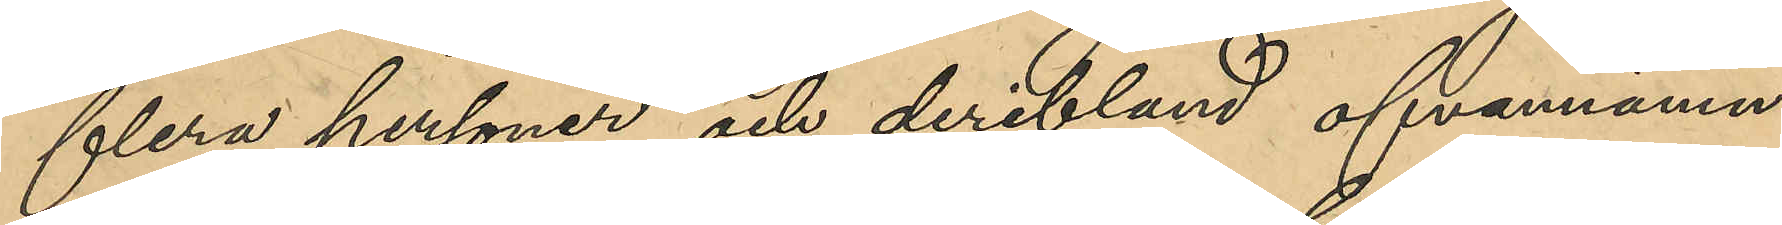flera personer och deribland ofvannämn¬
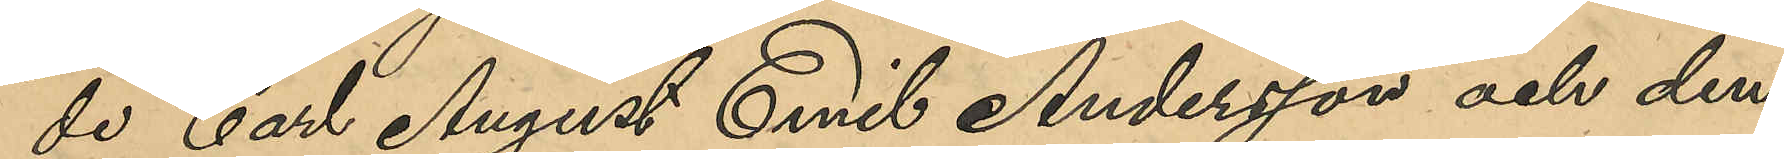de Carl August Emil Andersson och den¬
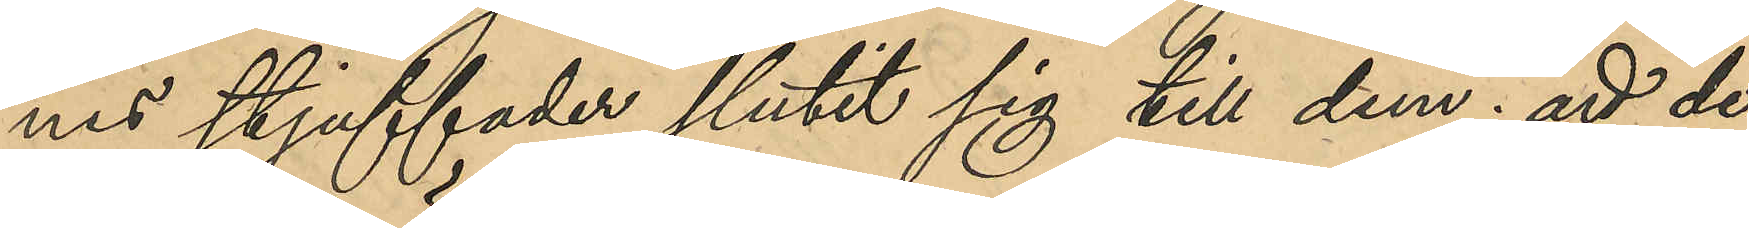nes stjuffader slutit sig till dem; att de
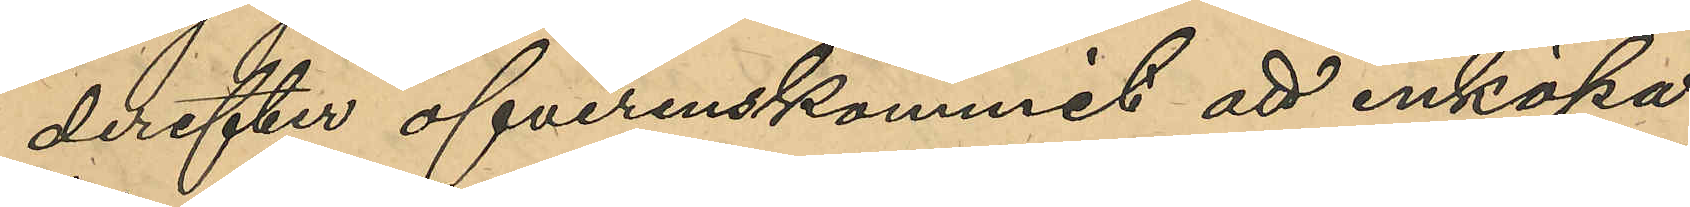derefter öfverenskommit att inköpa
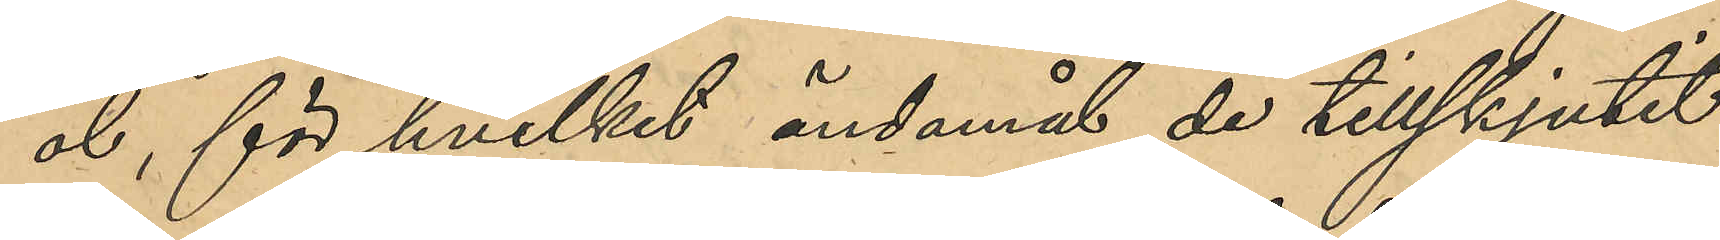öl, för hvilket ändamål de tillskjutit
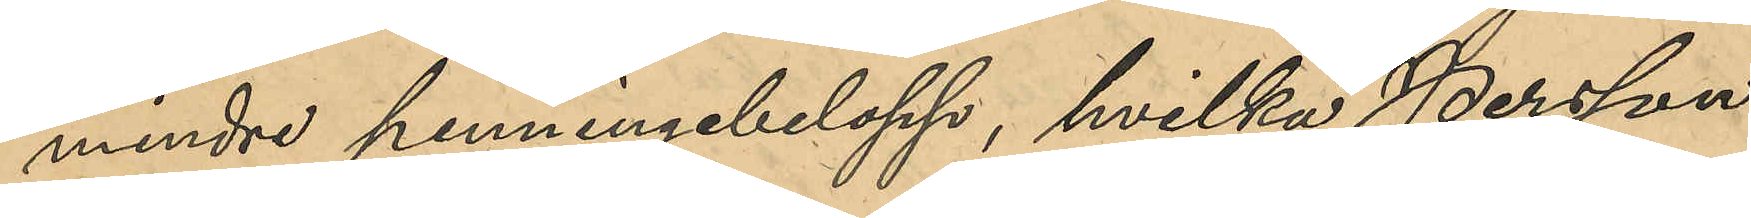mindre penningbelop, hvilka Persson
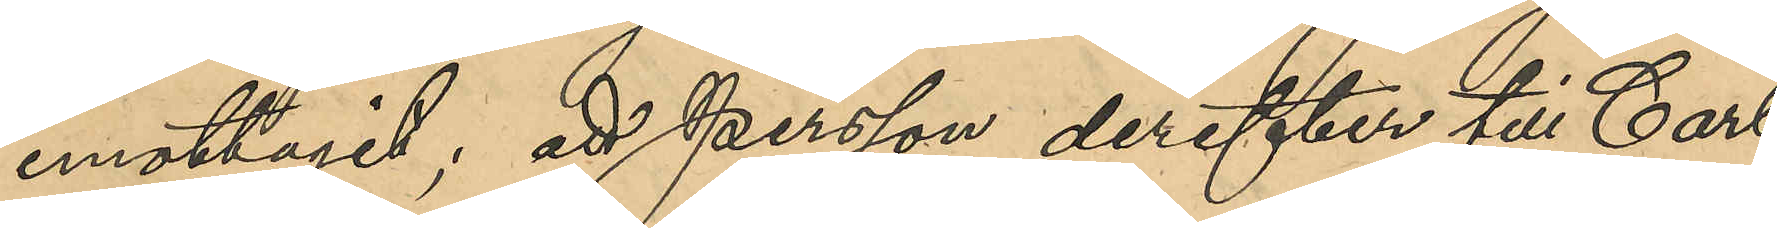emottagit; att Persson derefter till Carl
